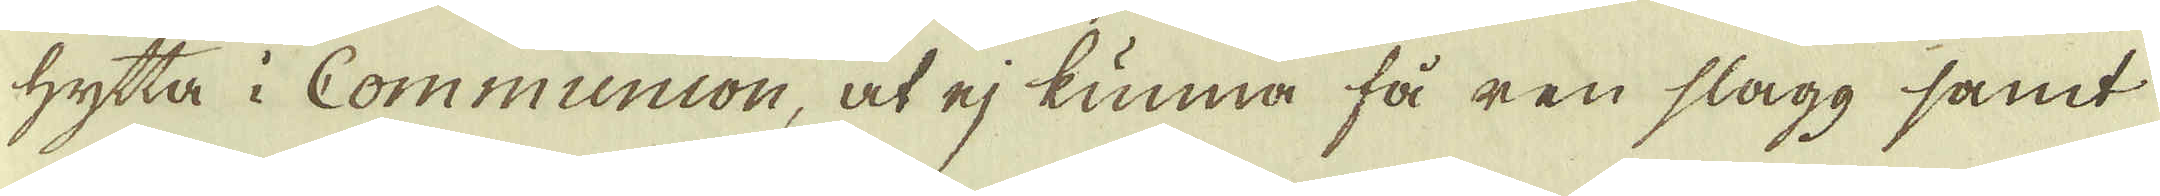hytta i Communion, at ej kunna få ren slagg samt
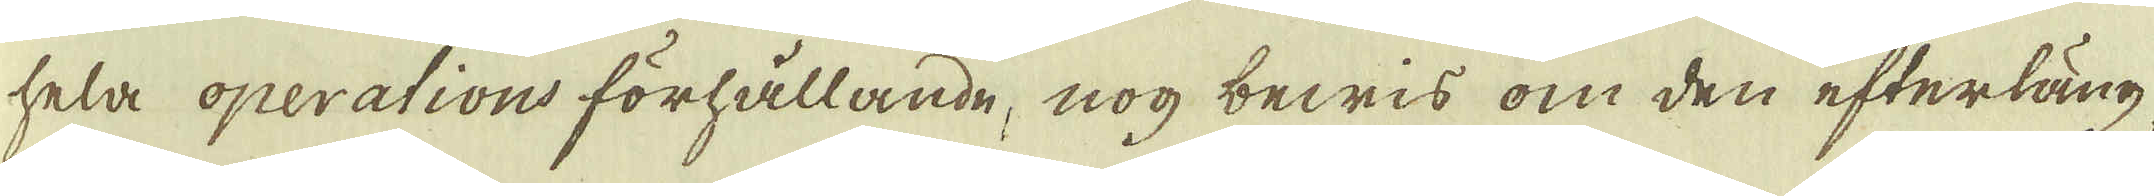hela operations förhållande, nog bewis om den efterläng-
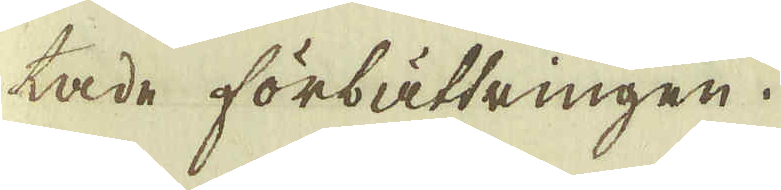tade förbättringen.
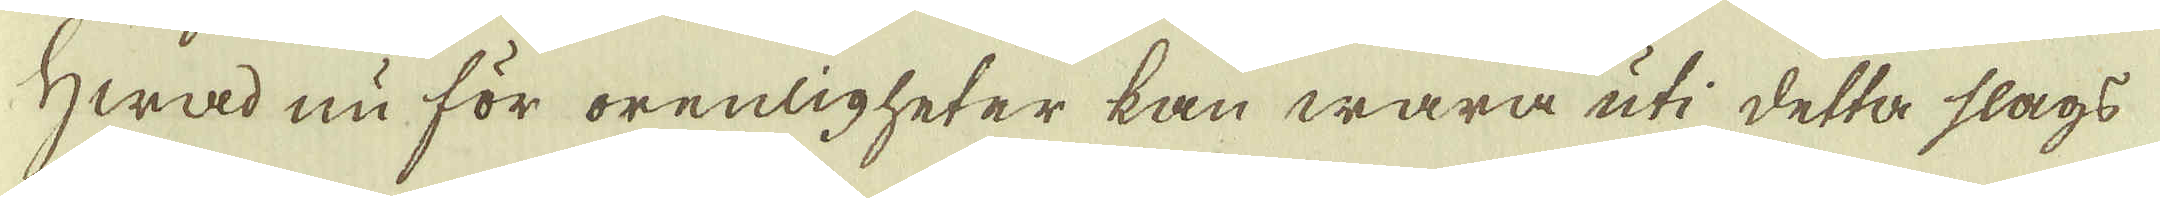Hwad nu för orenligheter kan wara uti detta slags
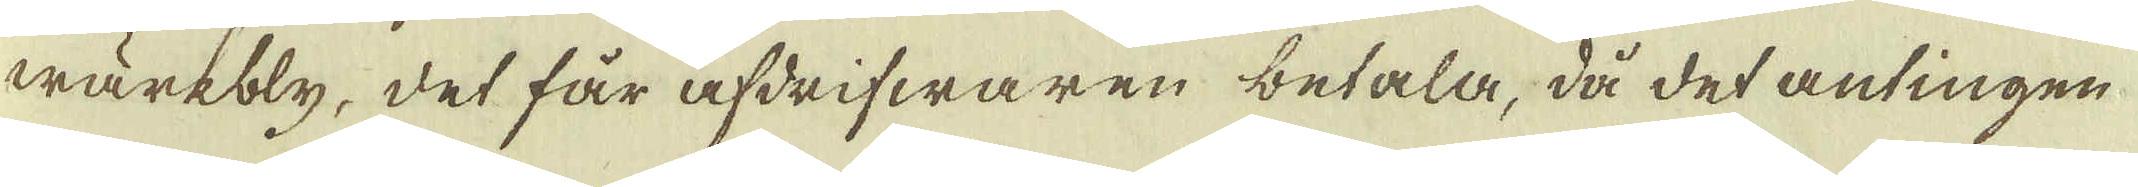wärkbly, det får afdrifwaren betala, då det antingen
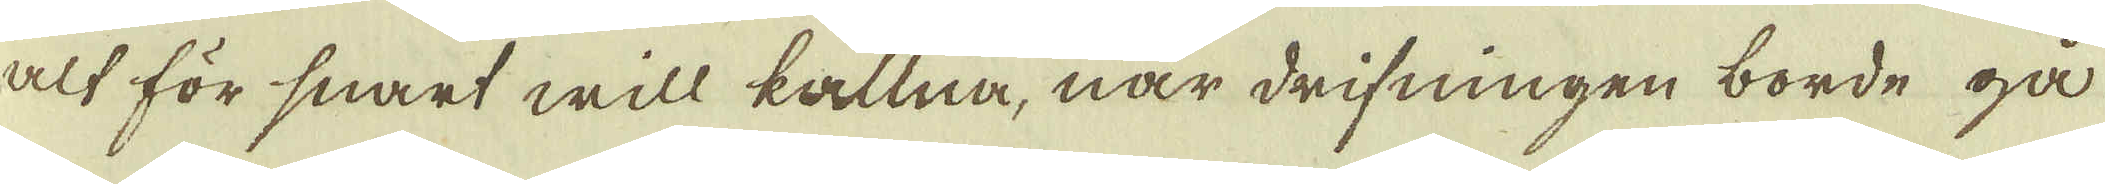alt för snart will kallna, när drifningen borde gå
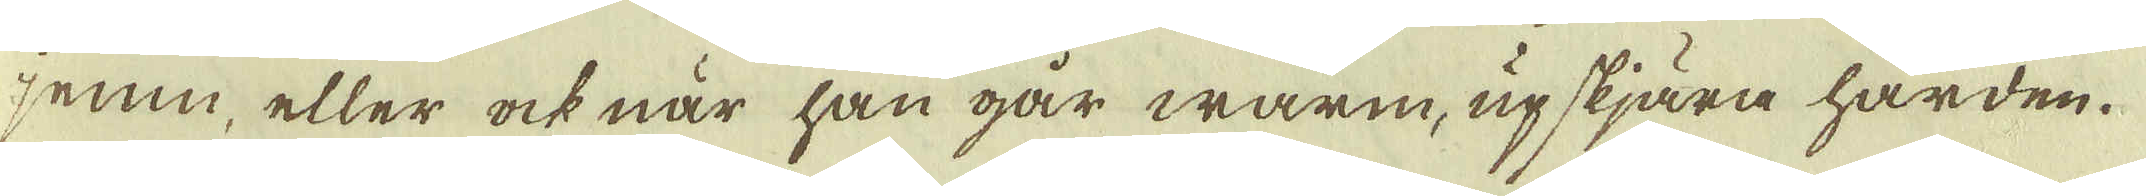jemn, eller ock när han går warm, upskjära härden.
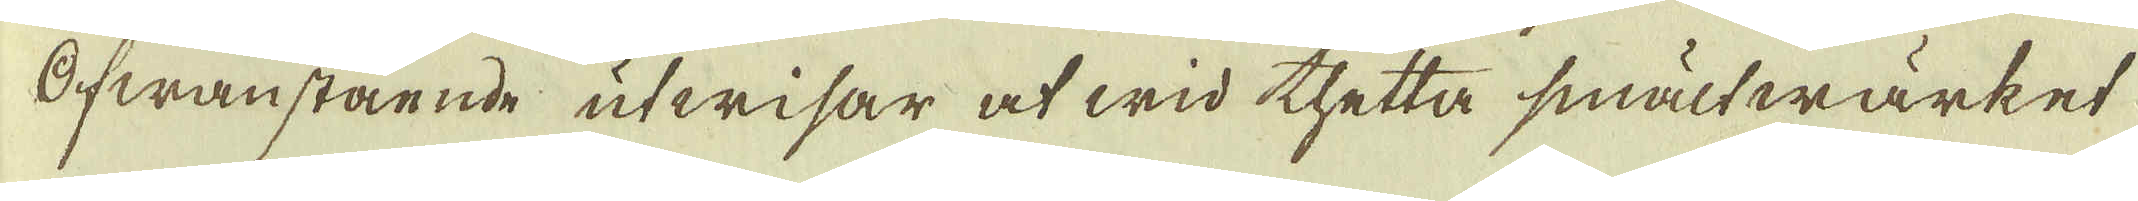Ofwanstående utwisar at wid thetta smältwärket
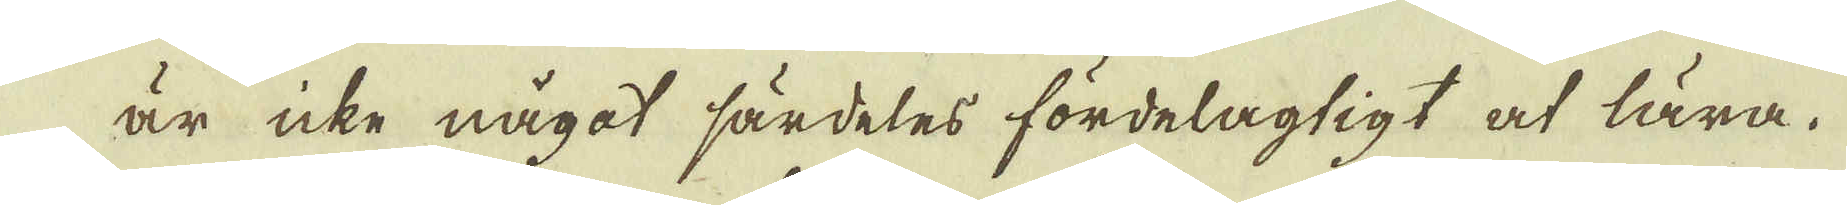är icke något särdeles fördelagtigt at lära.
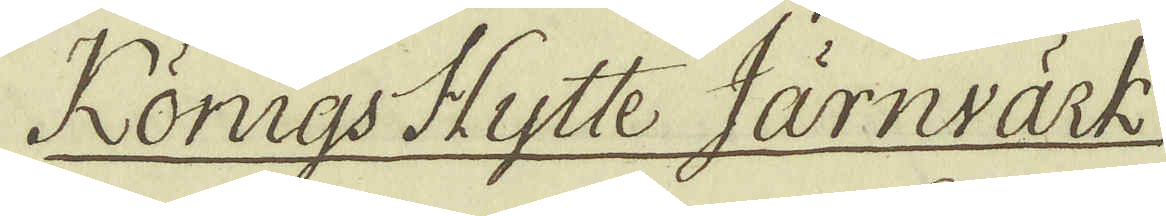Königs Hytte Järnvärk.
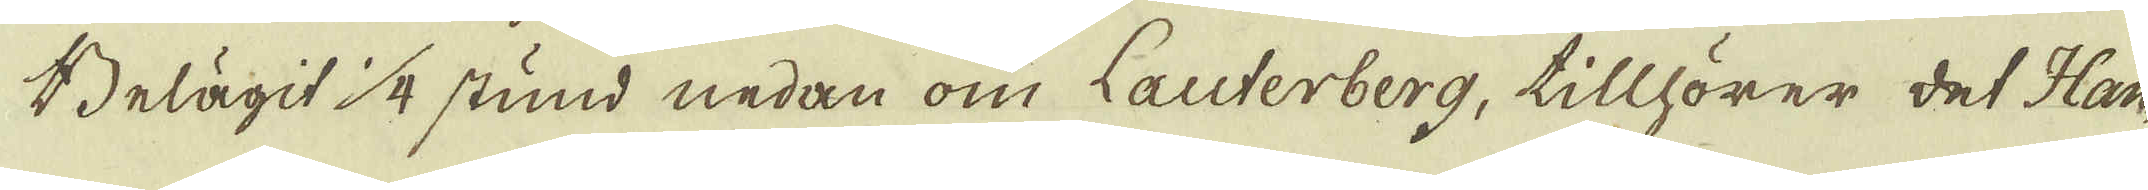Belägit 1/4 stund nedan om Lauterberg, tillhörer det Han-
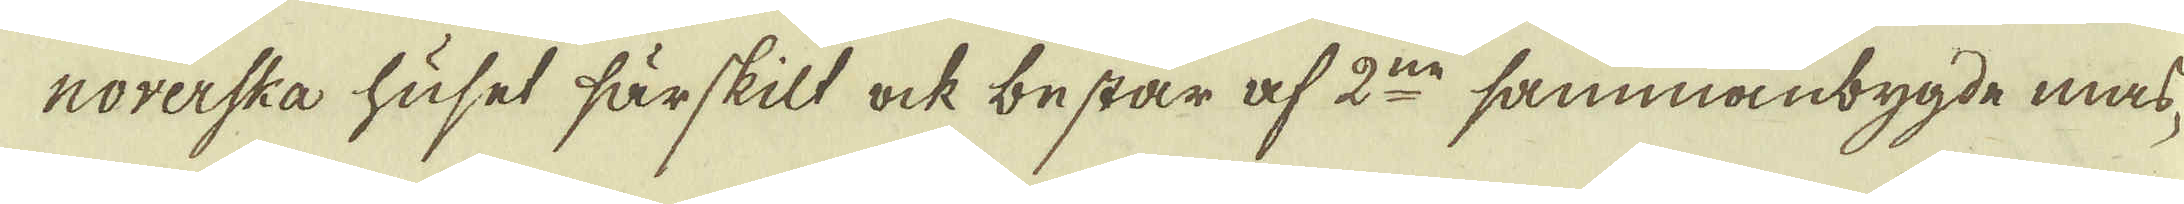norerska huset särskilt ock består af 2:ne sammanbygde mas-
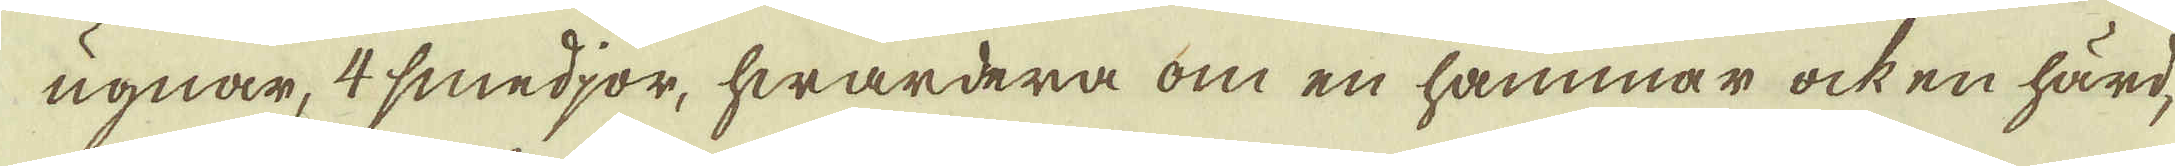ugnar, 4 smedjor, hwardera om en hammar ock en härd,
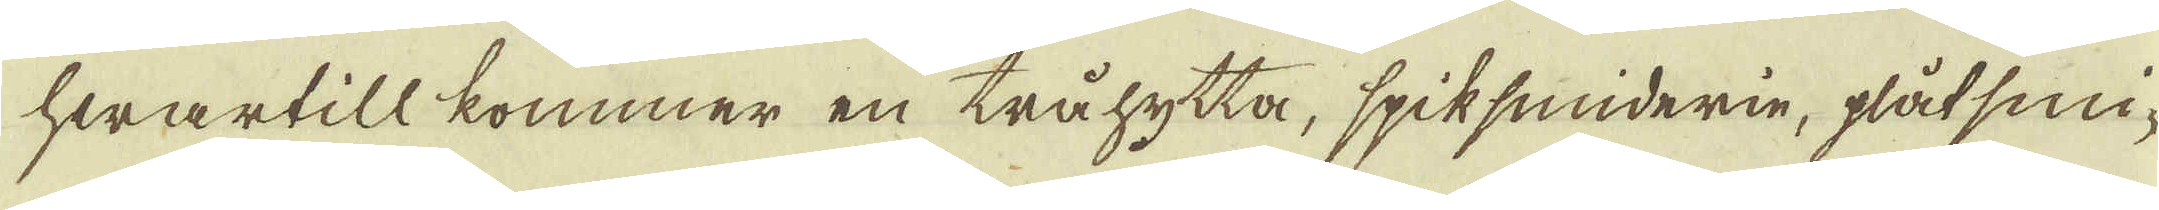hwartill kommer en tråhytta, spiksmiderie, plåt smi-
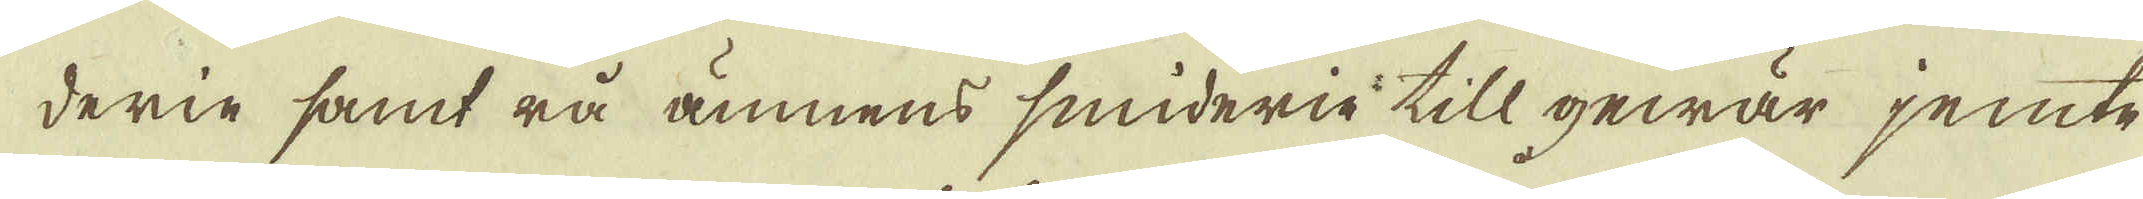derie samt rå ämnens smiderie till gewär jemte
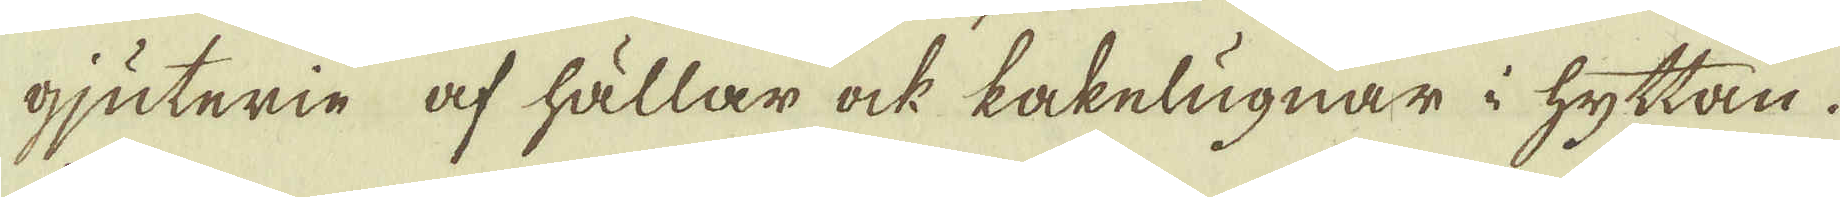gjuterie af hällar ock kakelugnar i hyttan.
